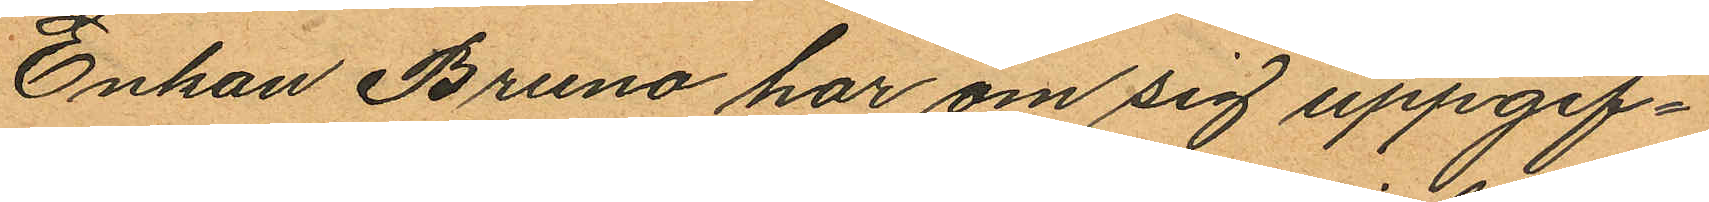Enkan Bruno har om sig uppgif¬
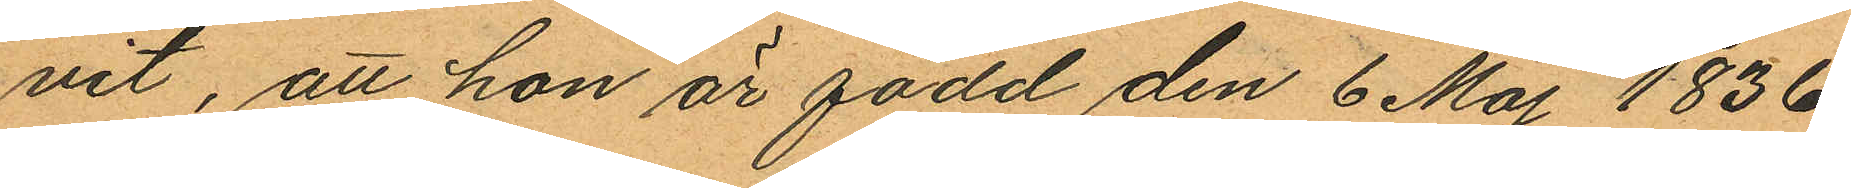vit, att hon är född den 6 Maj 1836
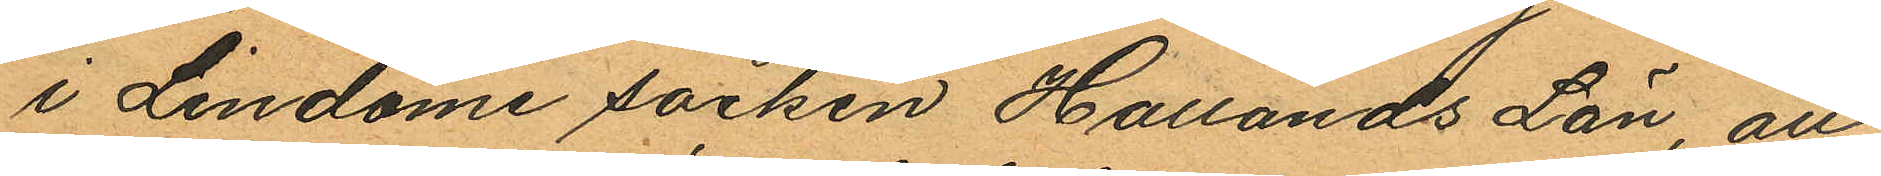i Lindome socken Hallands Län, att
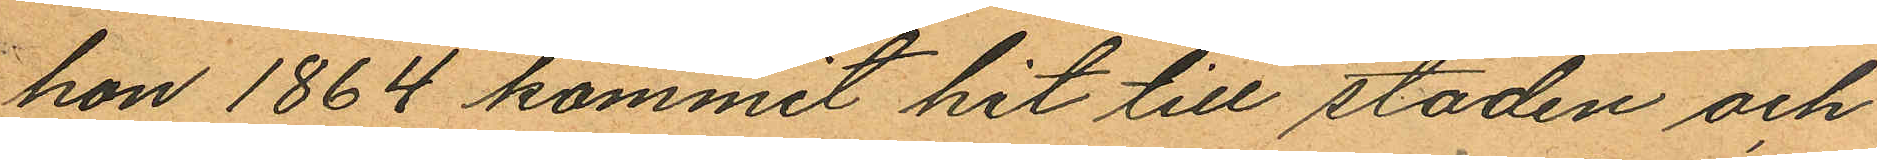hon 1864 kommit hit till staden och
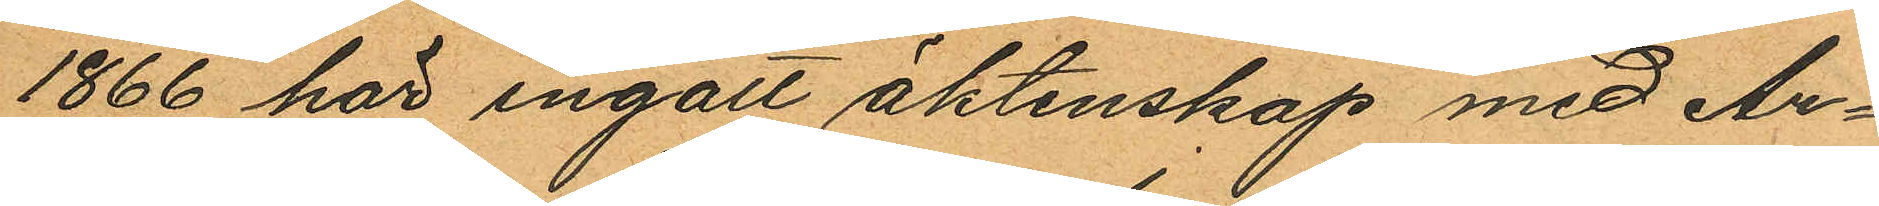1866 här ingått äktenskap med Ar¬
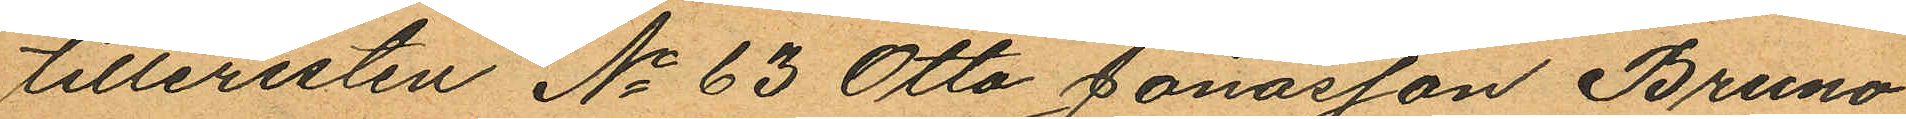tilleristen No 63 Otto Jonasson Bruno
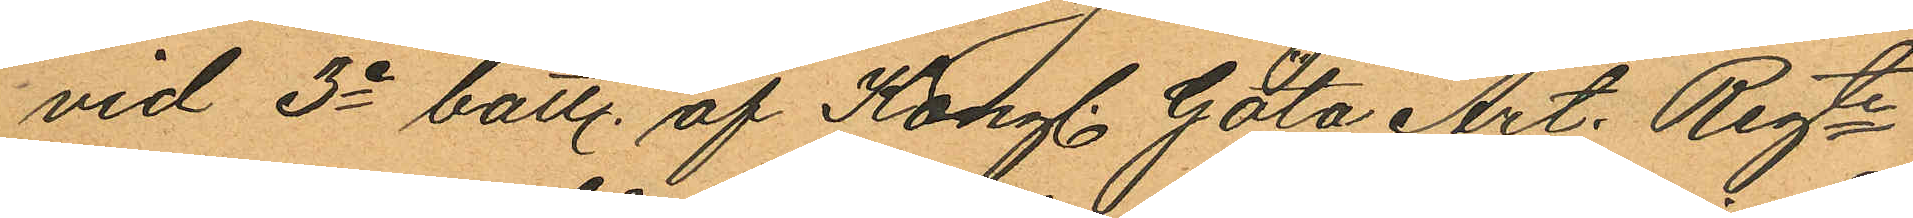vid 3e batt. af Kongl. Göta Art. Regte
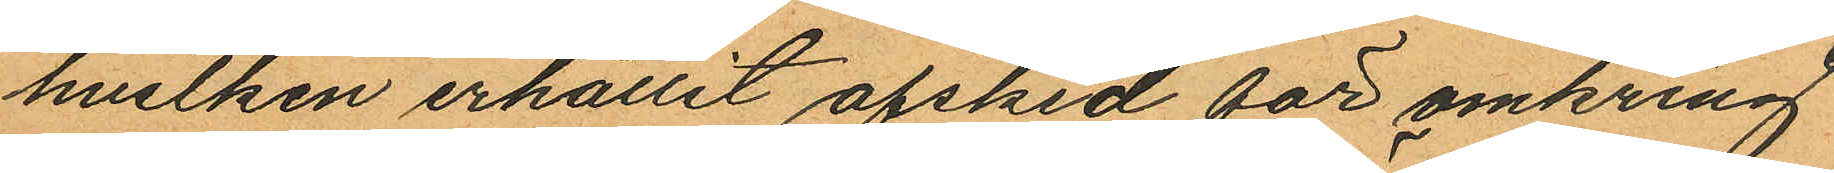hvilken erhållit afsked för omkring
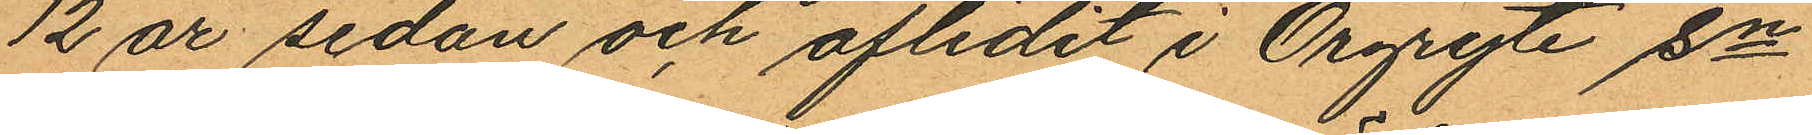12 år sedan och aflidit i Örgryte sn
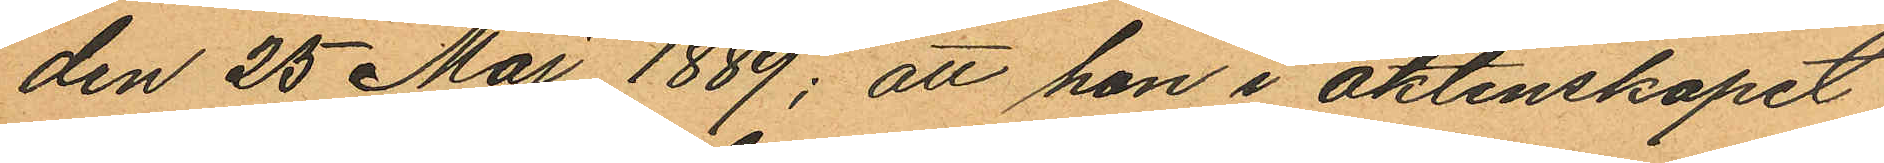den 25 Maj 1889; att hon i äktenskapet
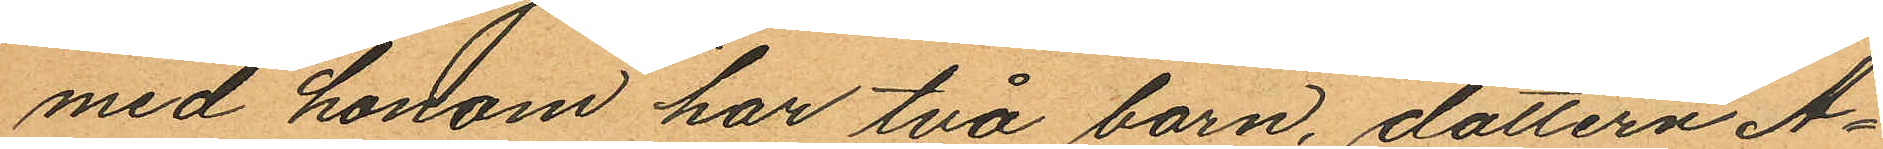med honom har två barn, dottern A¬
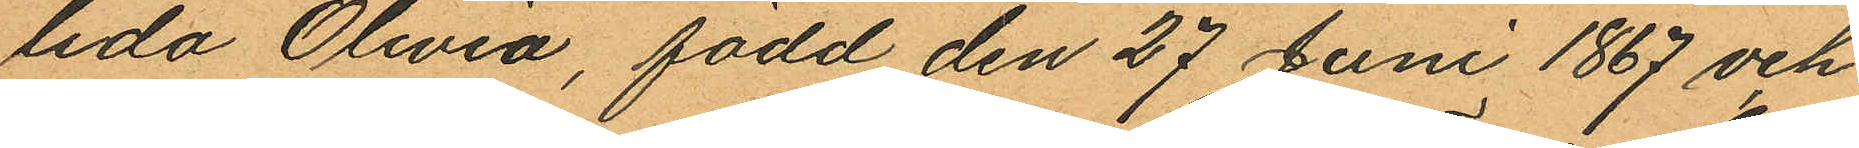lida Olivia, född den 27 Juni 1867 och
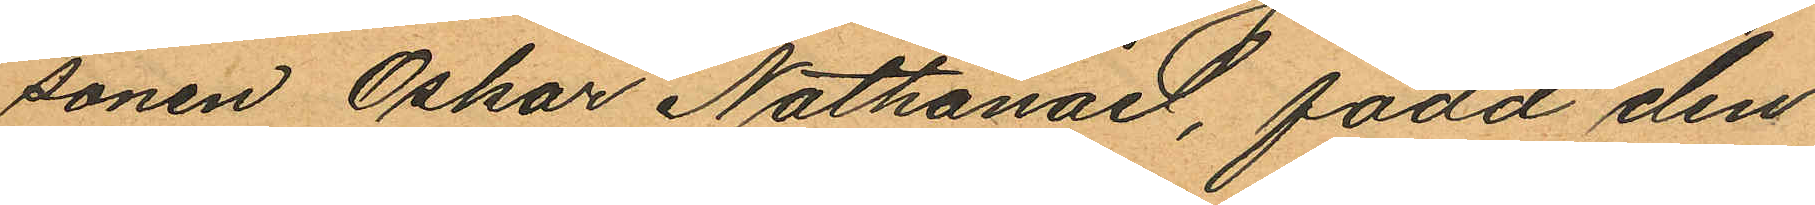sonen Oskar Nathanael, född den
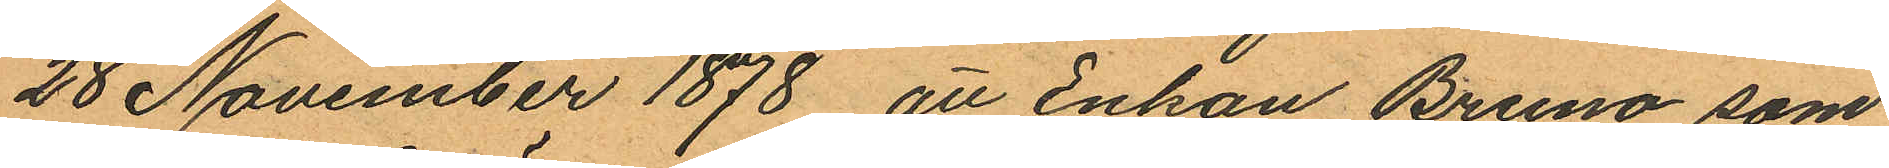28 November 1878 att Enkan Bruno, som
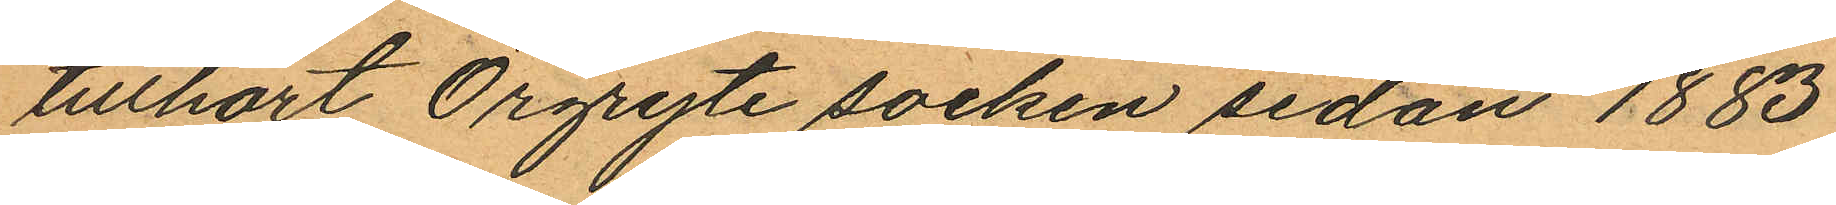tillhört Örgryte socken sedan 1883
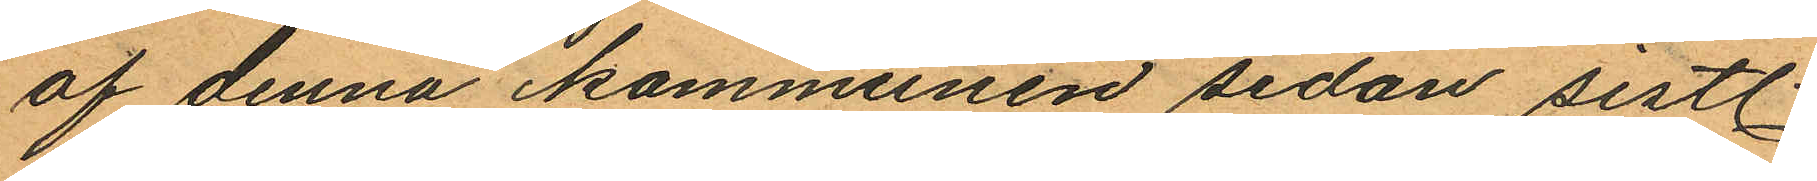af denna kommunen sedan sistl.
